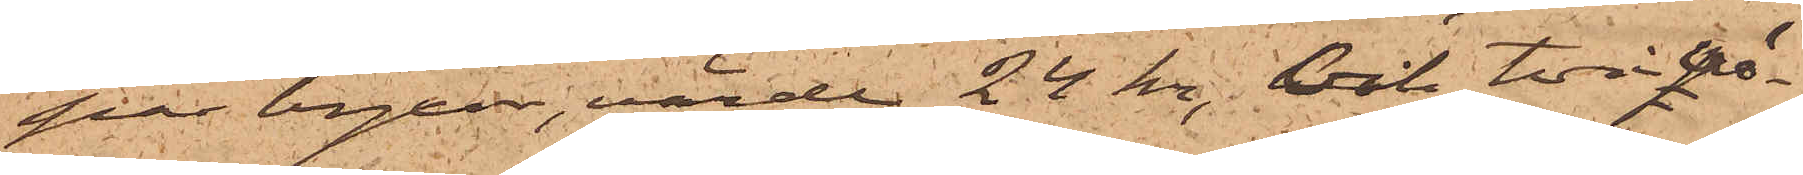par byxor, värde 24 kr, och två vä¬
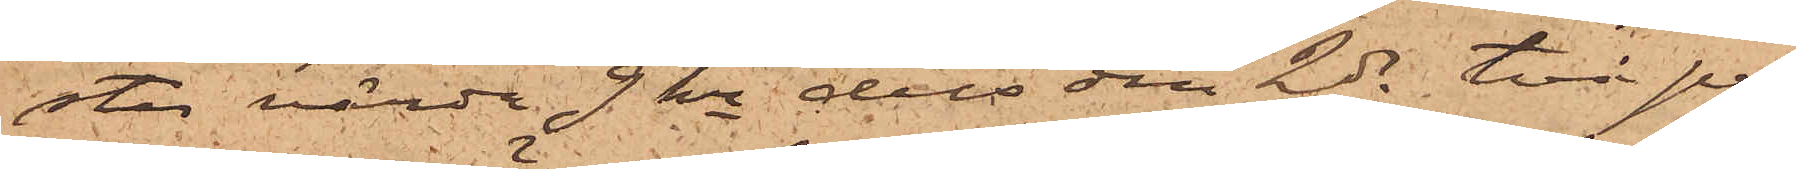star värda 9 kr dels den 2 ds två par
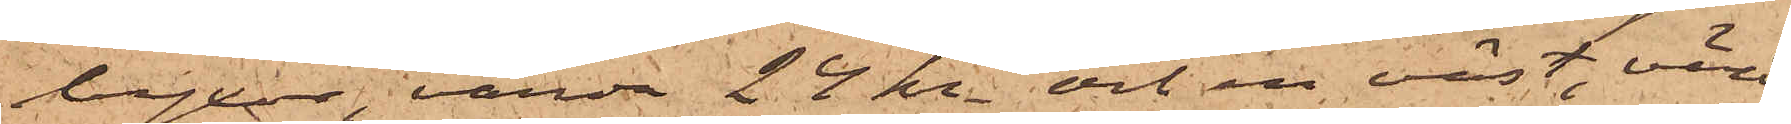byxor, värda 24 kr och en väst, värd
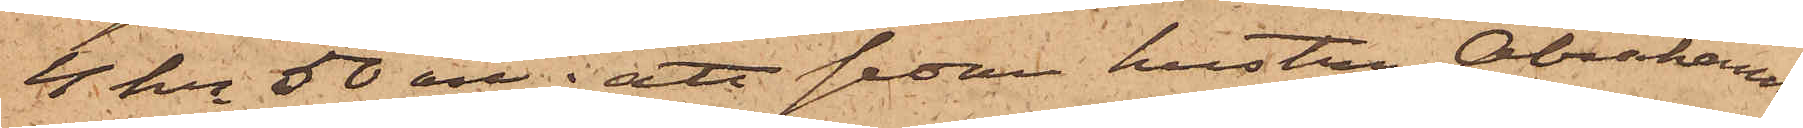4 kr 50 öre; att sedan hustru Abrahamss¬
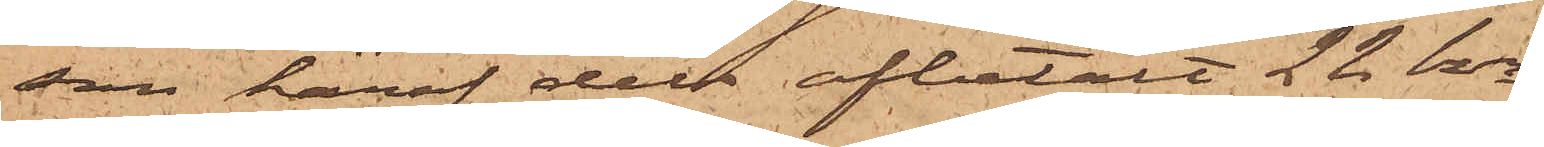son häraf dels afbetalt 22 kr
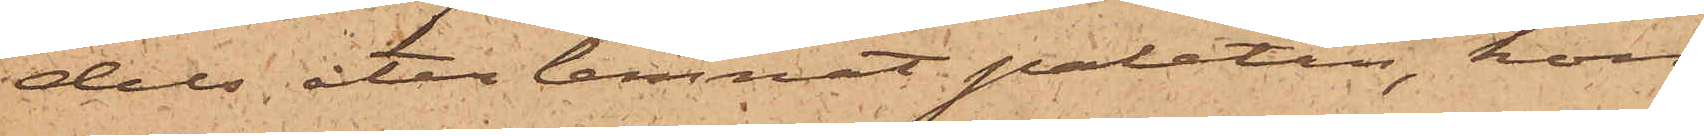dels åter lemnat paletån, hon
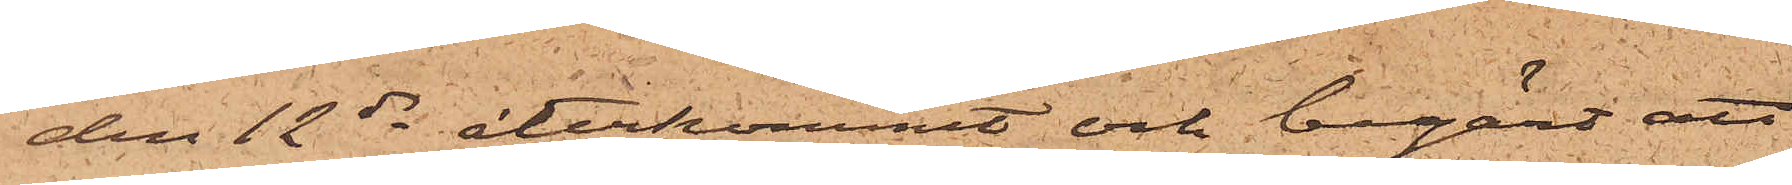den 12 ds återkommit och begärt att
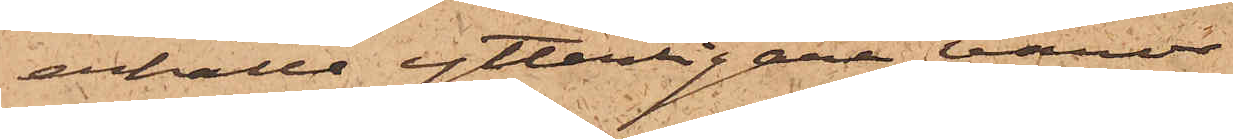erhålla ytterligare varor
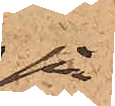på
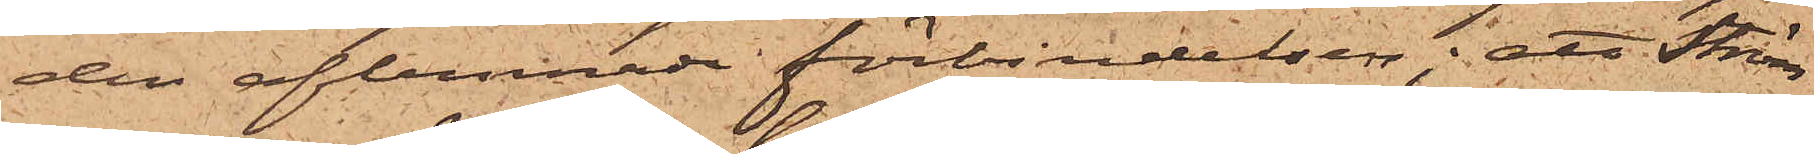den aflemnade förbindelsen; att Ström
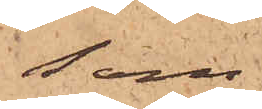som
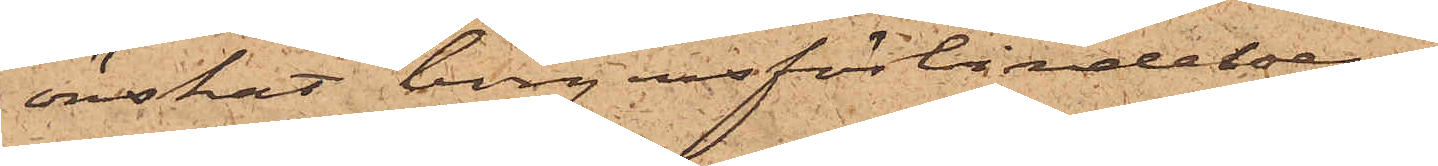önskat borgensförbindelsen
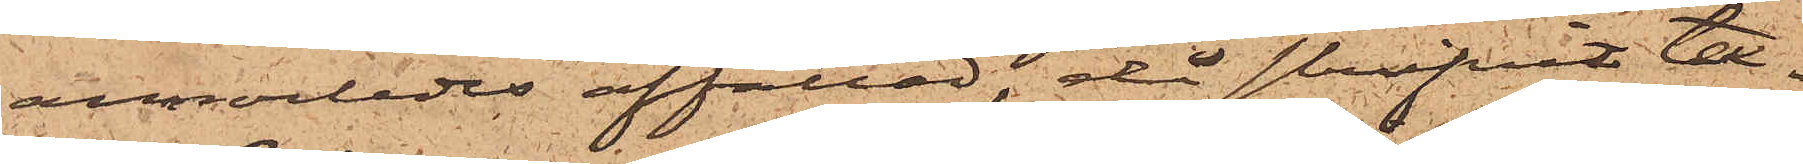annorledes affattad, då skrifvit tex¬
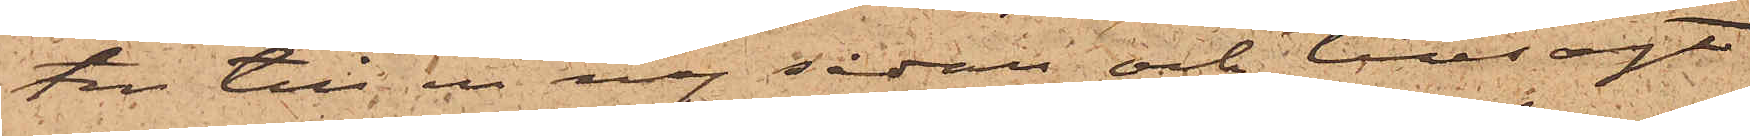ten till en ny sådan och tillsagt
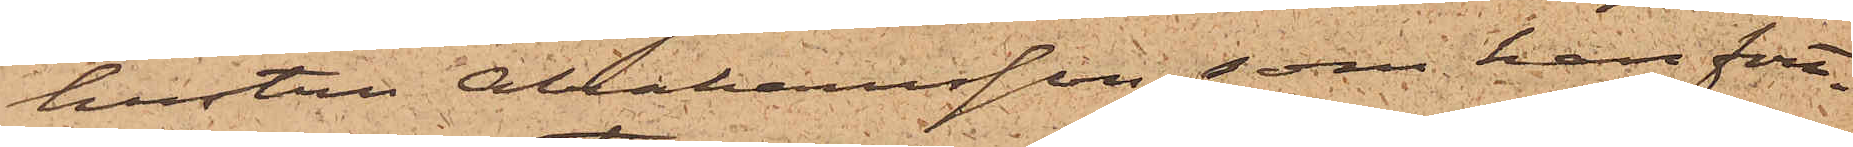hustru Abrahamsson, som han fort¬
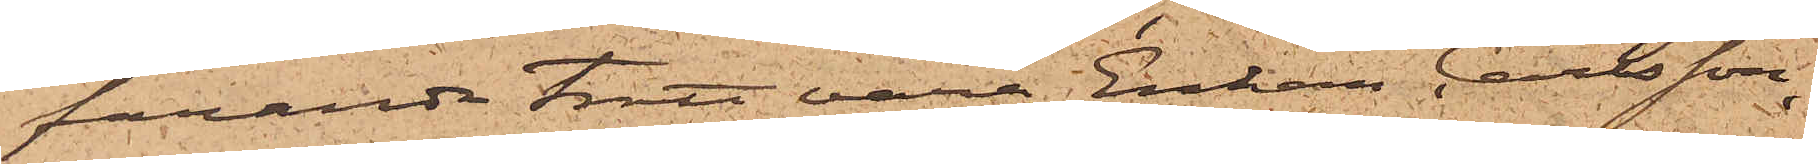farande trott vara Enkan Carlsson,
